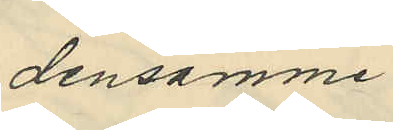densamme
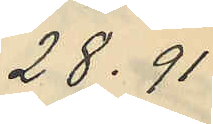28.91
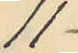11
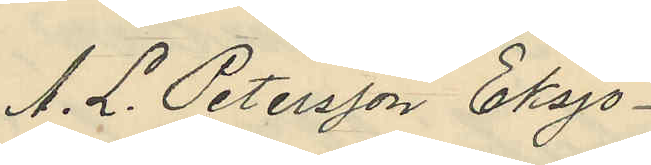A. L. Petersson Eksjö
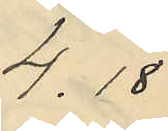4.18
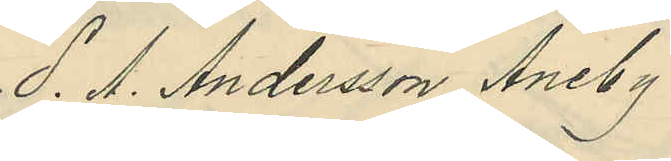S. A. Andersson, Aneby
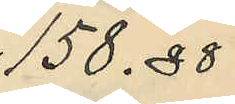158.88
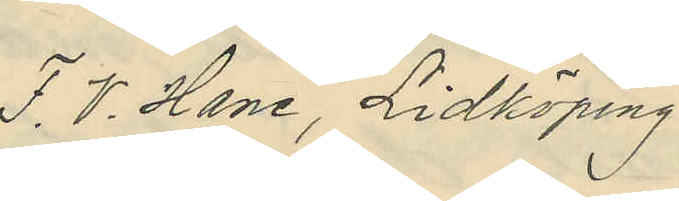F. V. Hane, Lidköping
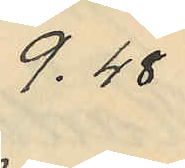9,48
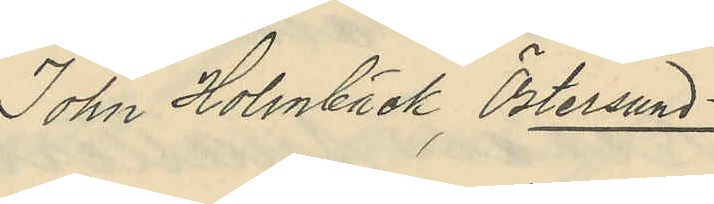John Holmbäck, Östersund
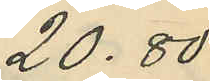20.80
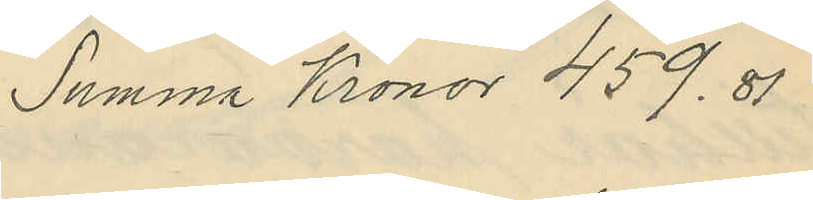Summa Kronor 459.81
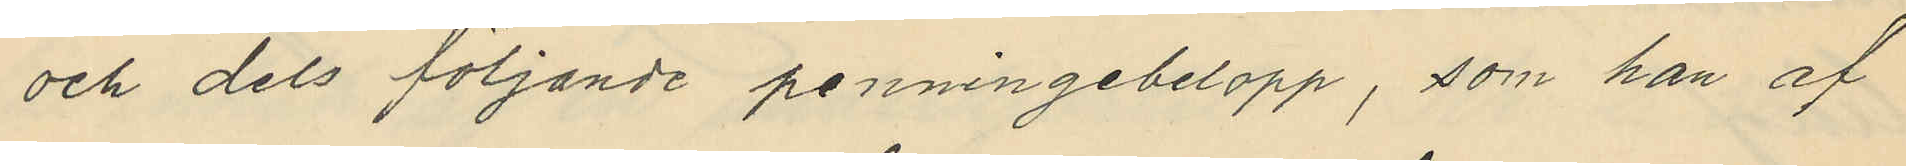och dels följande penningebelopp, som han af
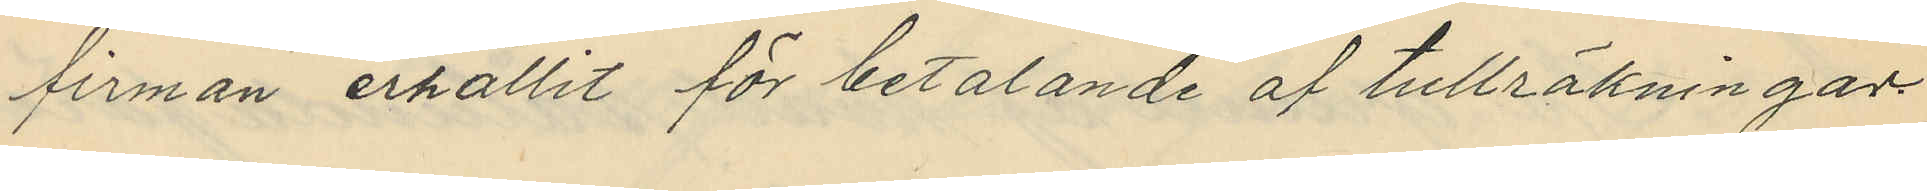firman erhållit för betalande af tullräkningar
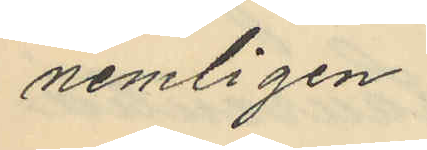nemligen
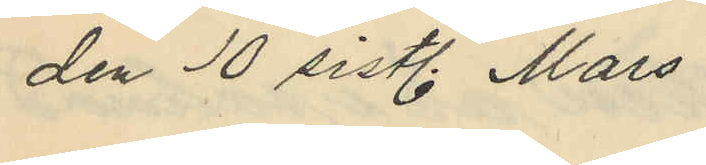den 10 sistl. Mars
